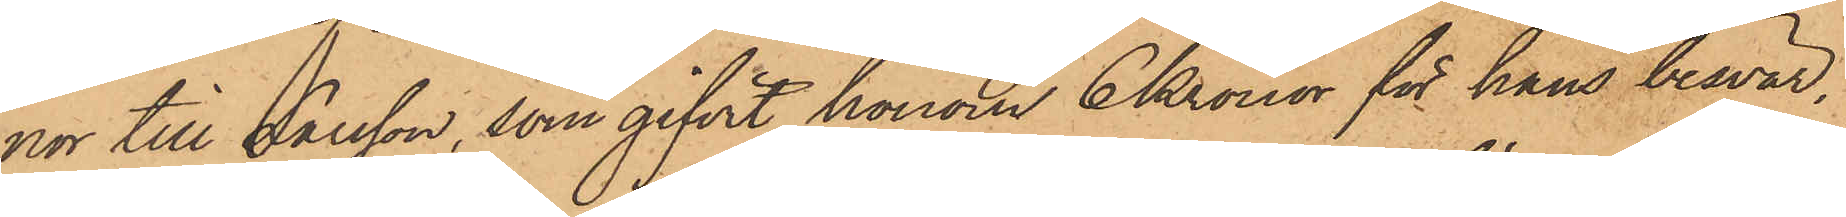nor till Larsson, som gifvit honom 6 Kronor för hans besvär.
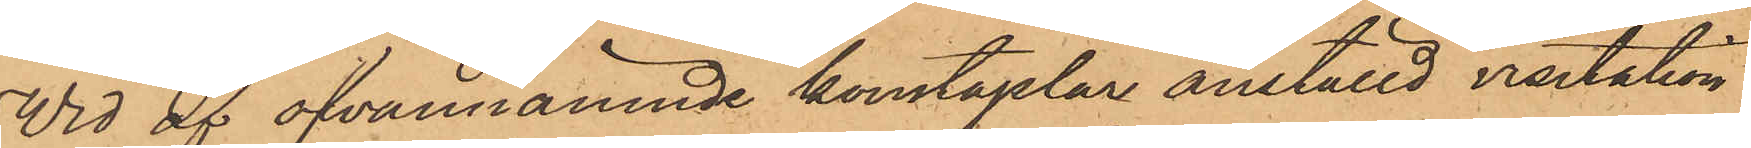Wid af ofvannämnde konstaplar anställd visitation
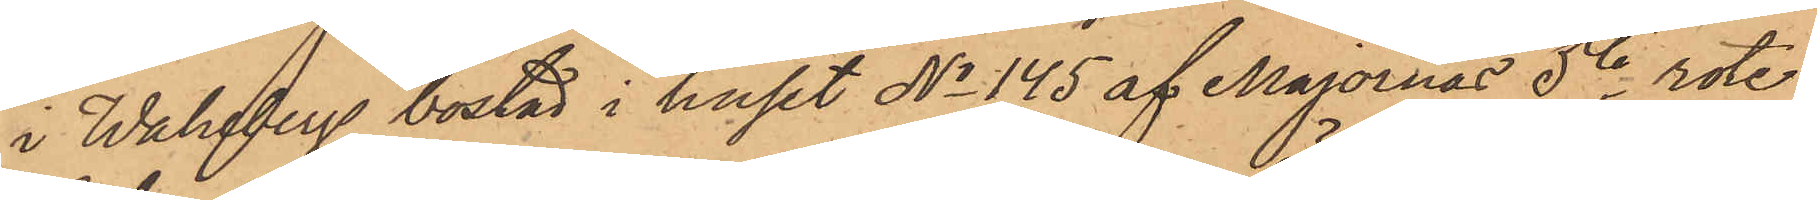i Wahlbergs bostad i huset No 145 af Majornas 5te rote,
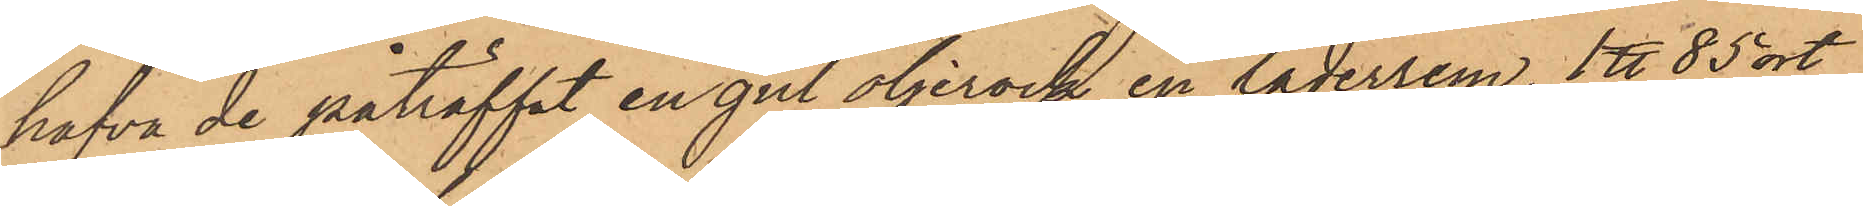hafva de påträffat en gul oljerock, en läderrem, 1 ℔ 85 ort
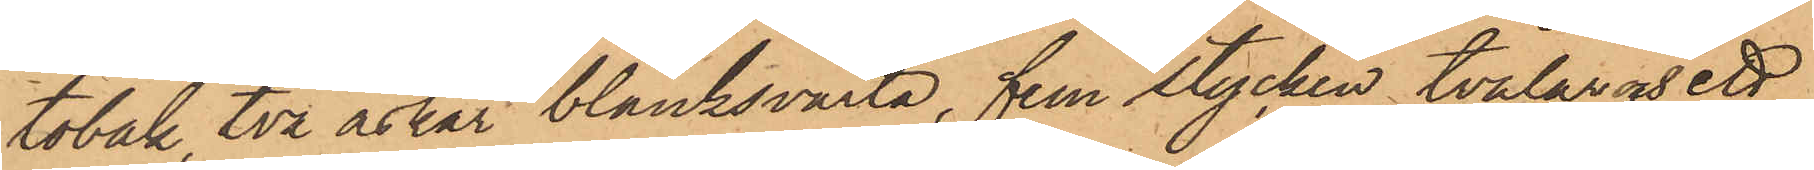tobak, två askar blanksvärta, fem stycken tvålar och ett
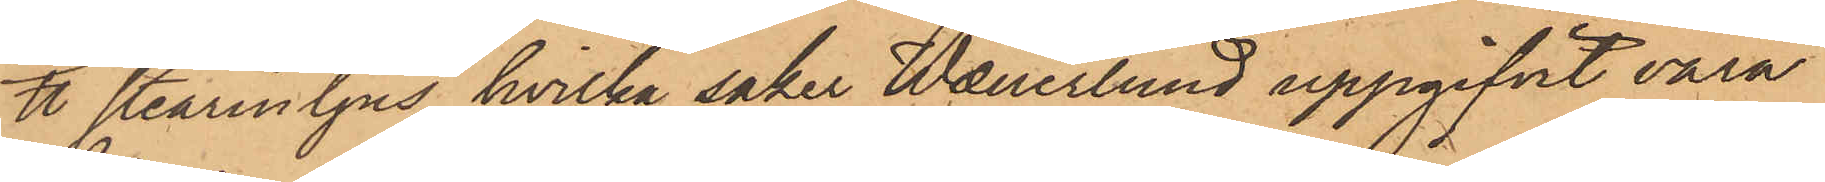℔ Starinljus, hvilka saker Wanerlund uppgifvit vara
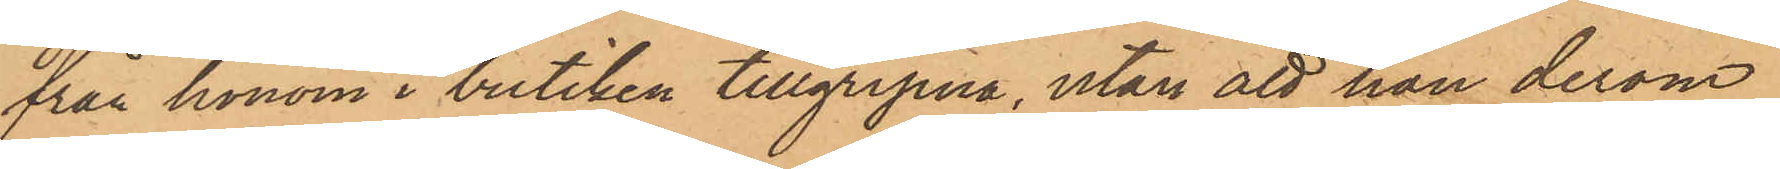från honom i butiken tillgripna, utan att han derom
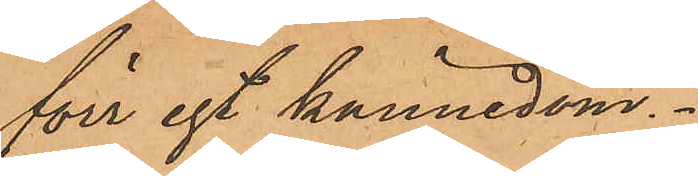före egt kännedom.
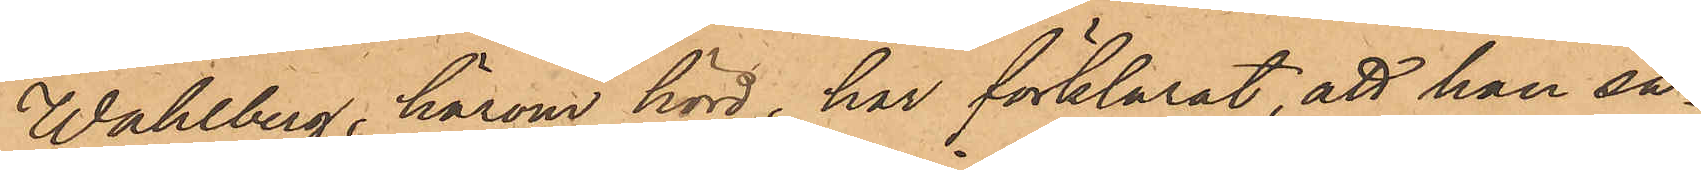Wahlberg, härom hörd, har förklarat, att han så¬
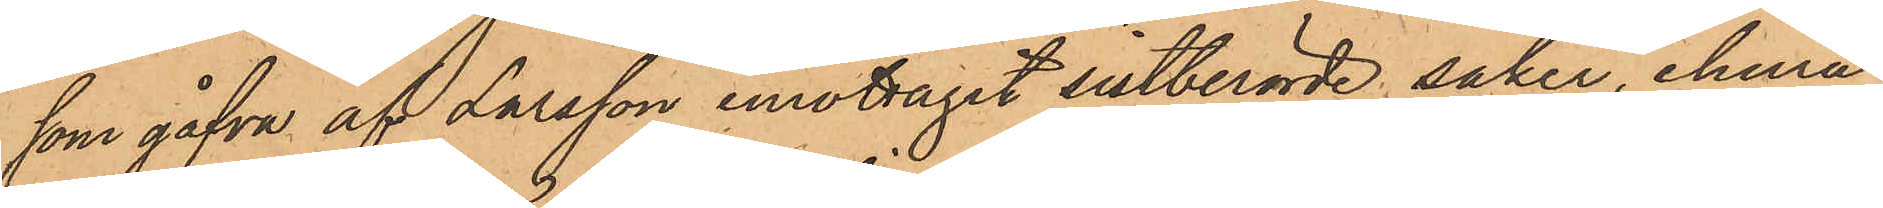som gåfva af Larsson emottagit sistberörde saker, ehuru
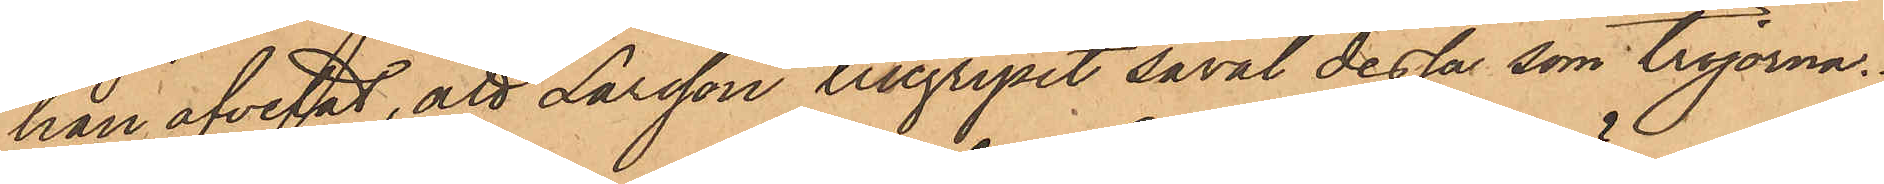han afvetat, att Larsson tillgripit såväl dessa som tröjorna.
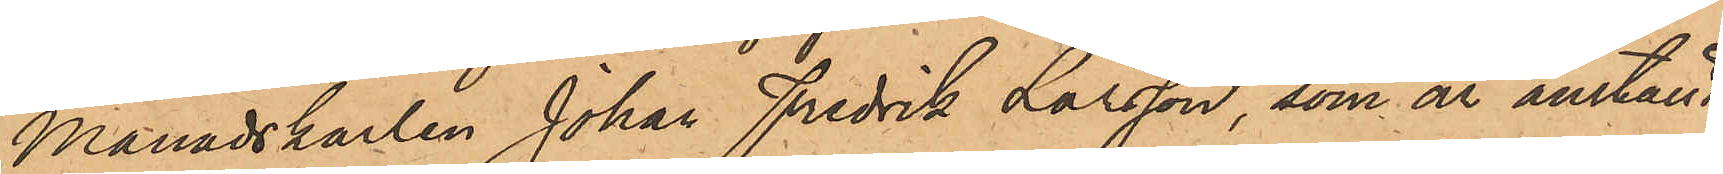Månadskarlen Johan Fredrik Larsson, som är anställd
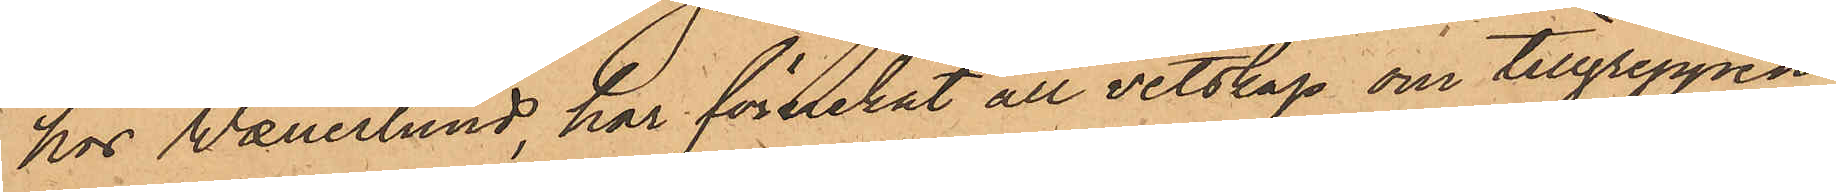hos Wanerlund, har förnekat all vetskap om tillgreppen
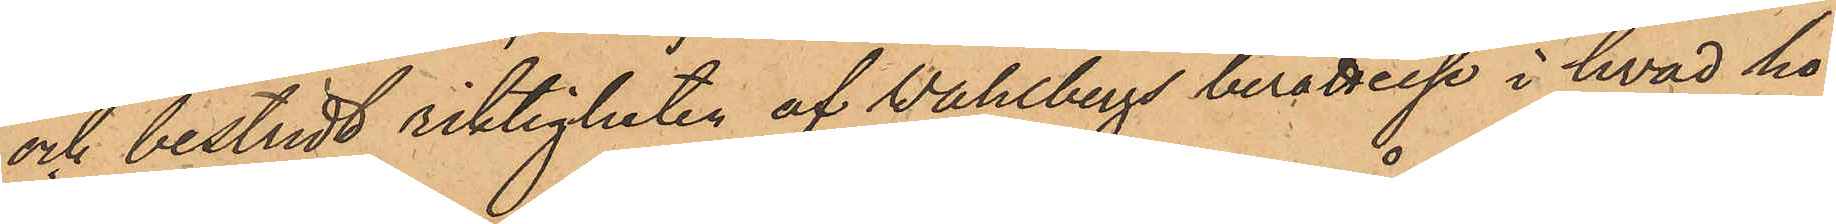och bestridt riktigheten af Wahlbergs berättelse i hvad ho¬
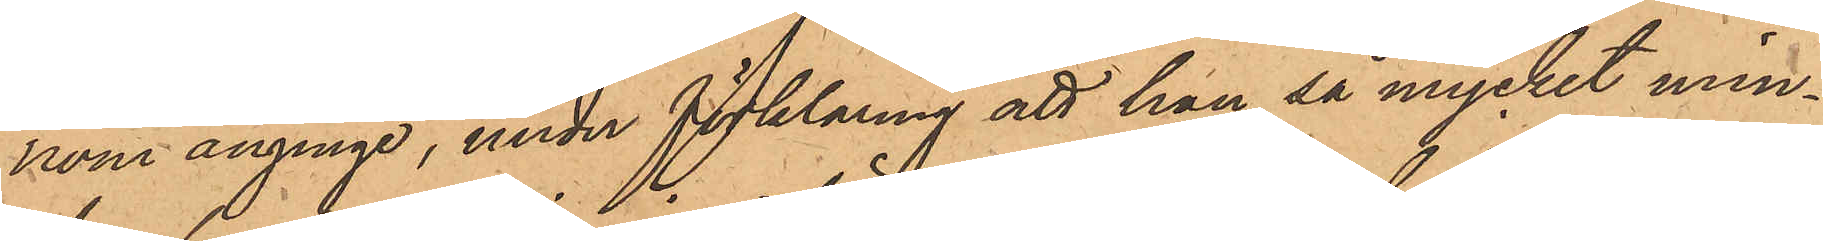kom anginge, under förklaring att han så mycket min¬
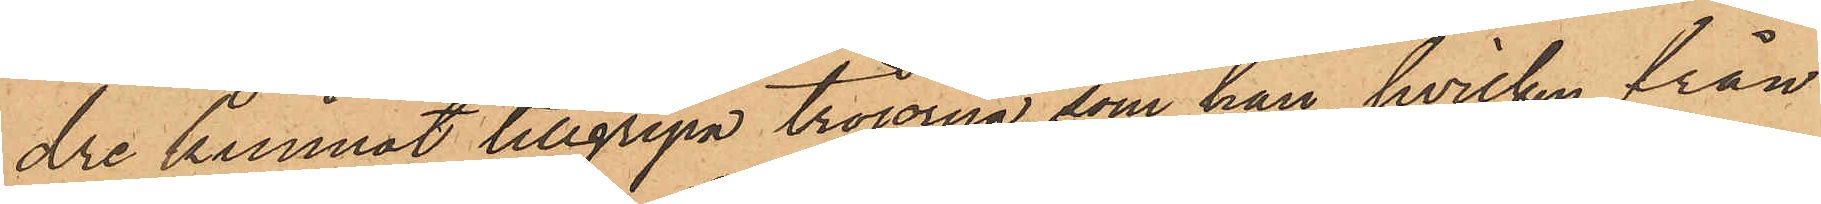dre kunnat tillgripa tröjorna, som han, hvilken från
